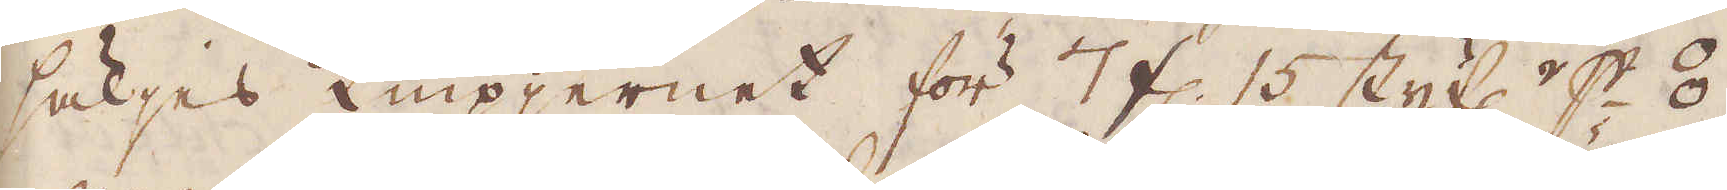säljes Knipjernet för 7 fl. 15 styf:r p⦂
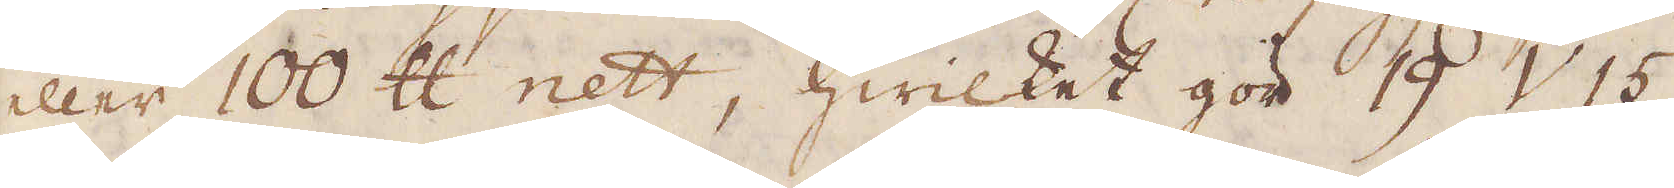eller 100 skålpund nett, hwilket gör 19 V 15
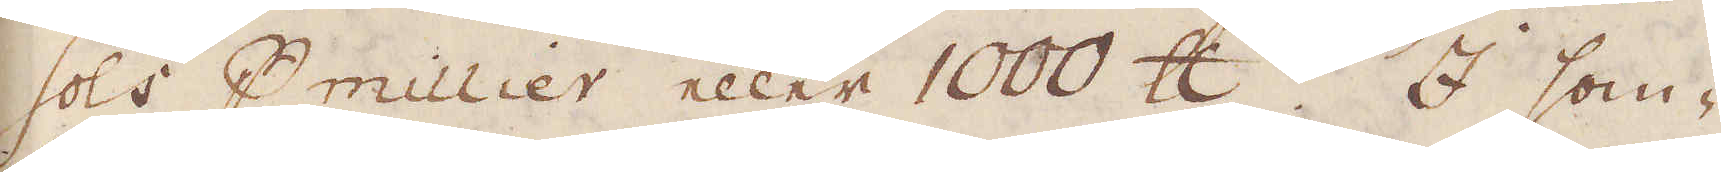sols p millier eller 1000 skålpund. I som-
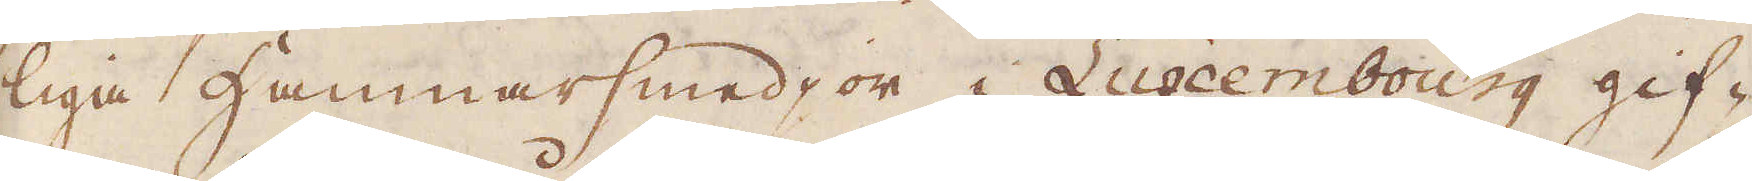liga Hammarsmedjor i Luxembourg gif-
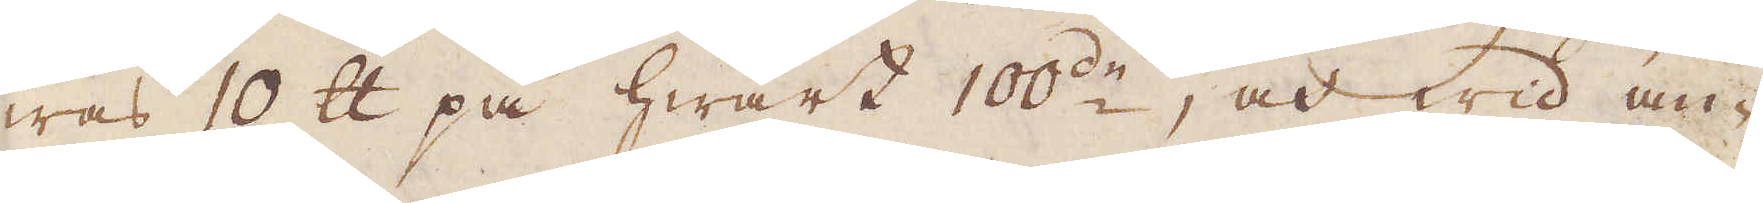was 10 skålpund på hwart 100de, och wid an-
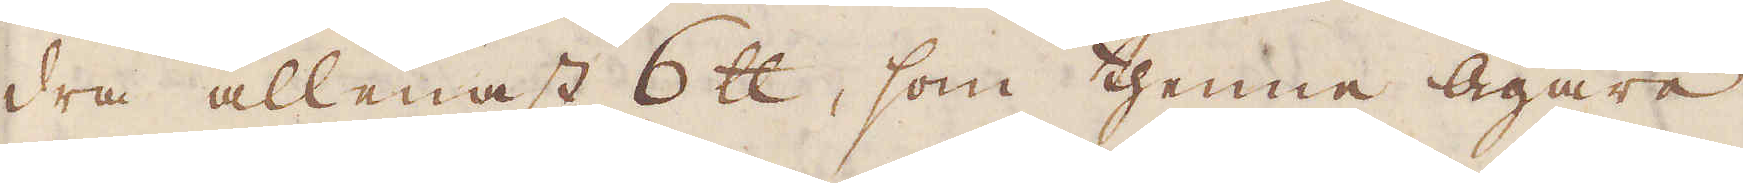dra allenast 6 skålpund, som thenne Ägare
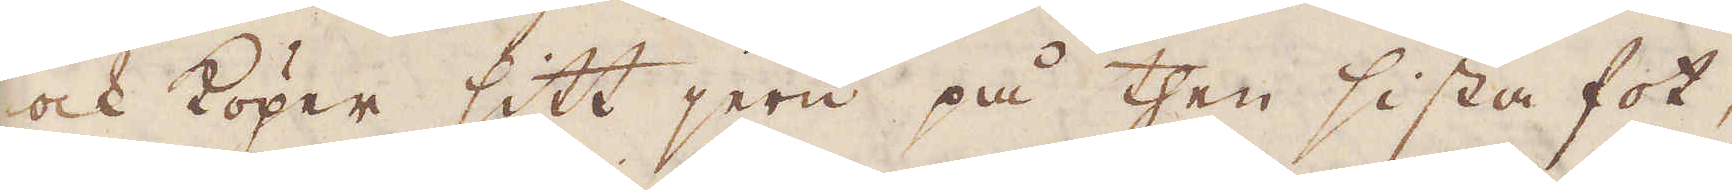ock köper sitt jern på then sista fot,
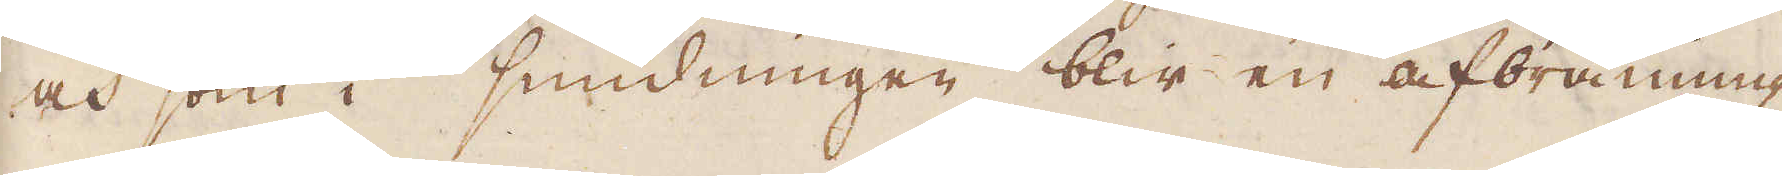och som i smidningen blir en afbränning
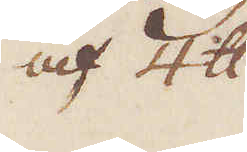af 4 skålpund
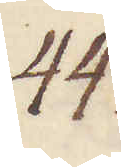44.
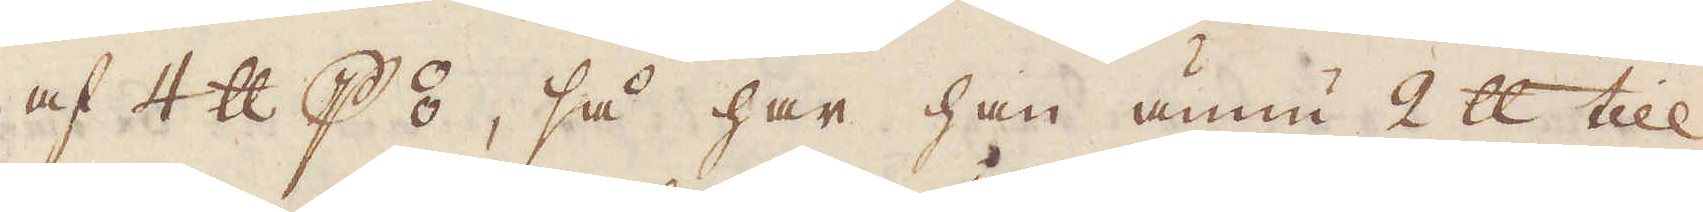af 4 skålpund p⦂, så har han ännu 2 skålpund till
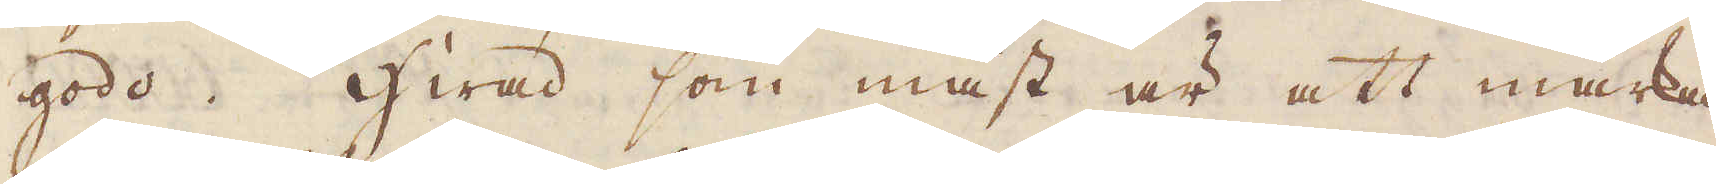godo. Hwad som mäst är att märka
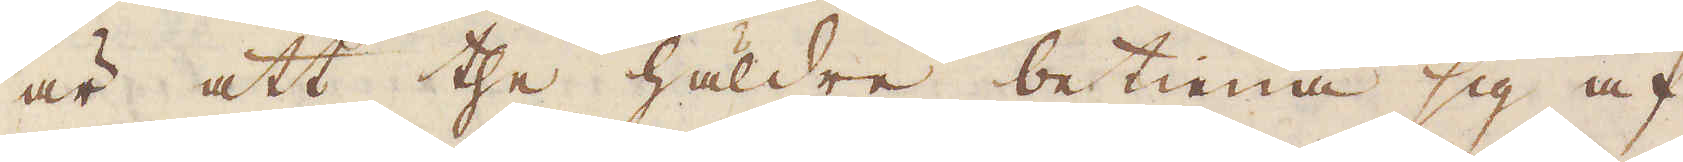är att the häldre betiena sig af
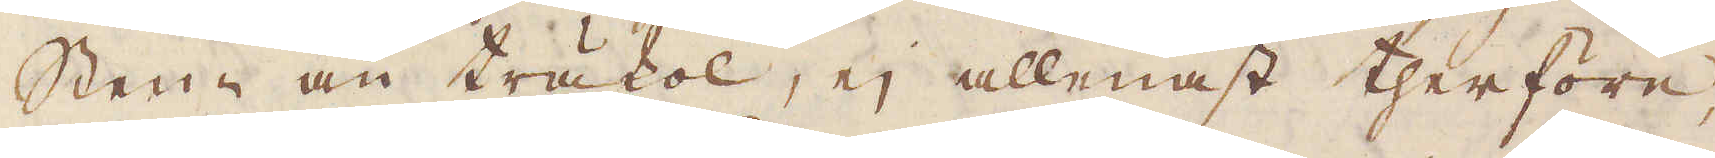Sten- än träkol, ej allenast therföre,
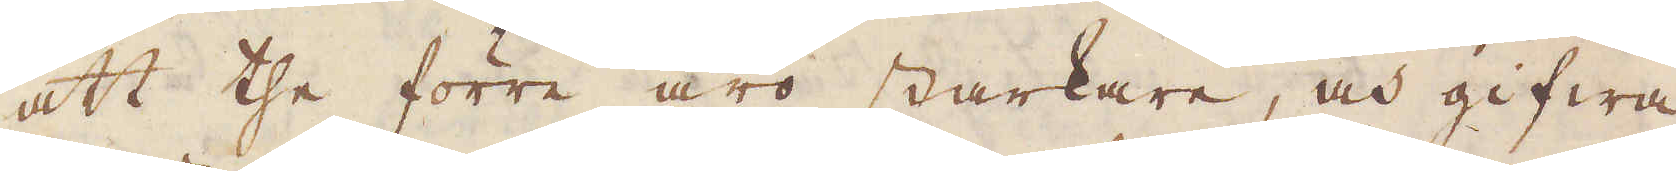att the förre äro starkare, och gifwa
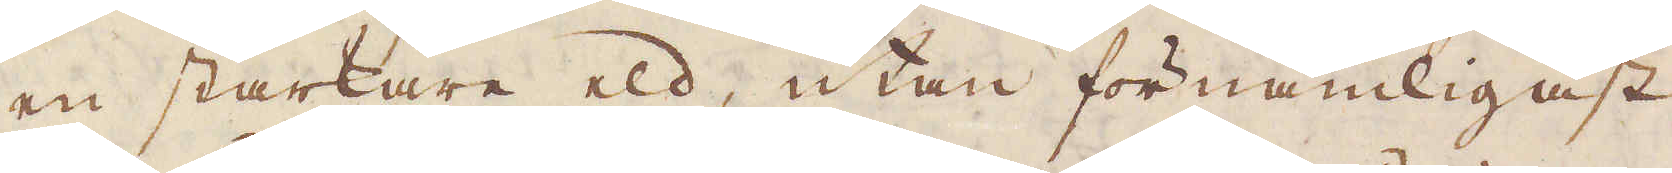en starkare eld, utan förnämligast
